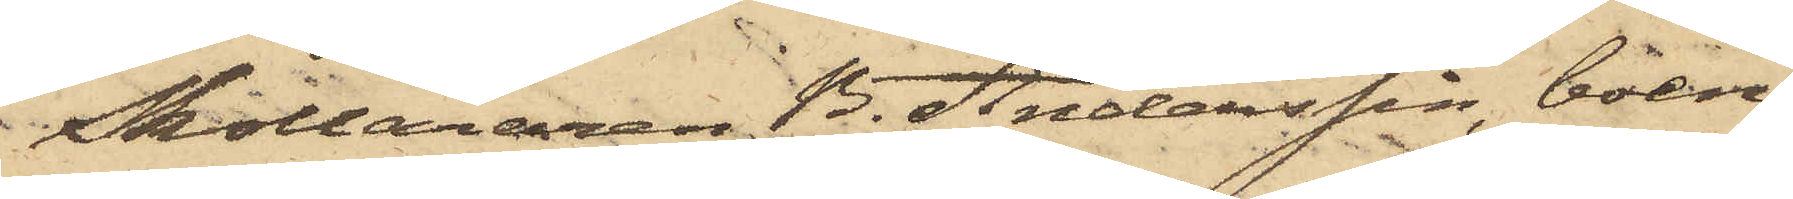Skolläraren B. Anderssin, boen¬
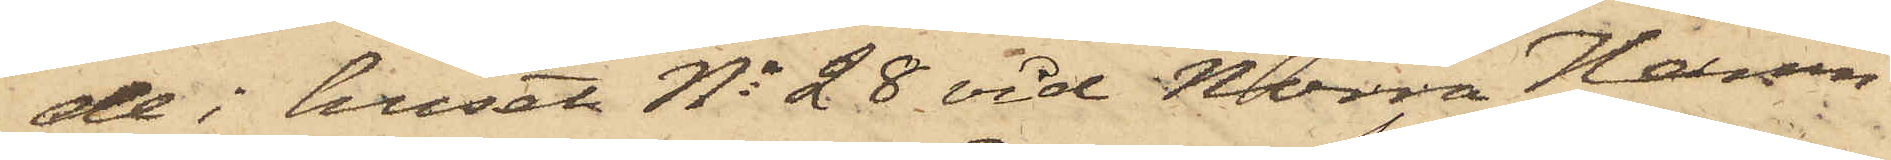de i huset No 28 vid Norra Hamn¬
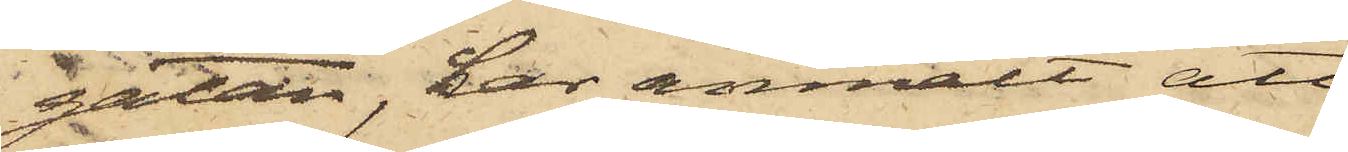gatan, har anmält att
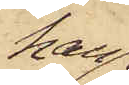han
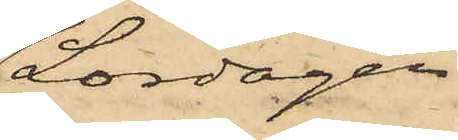Lördagen
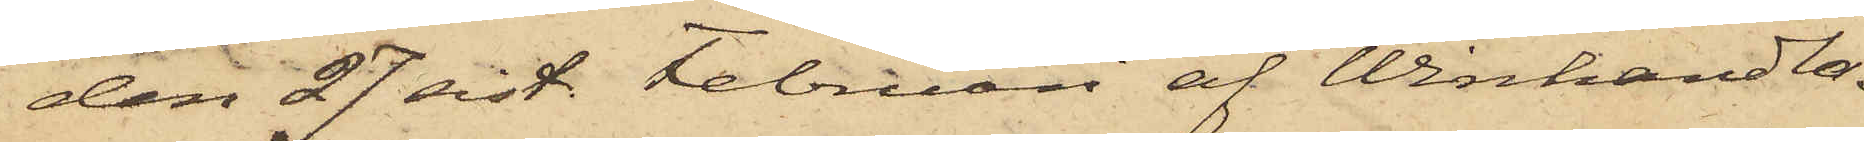den 27 sist. Februari af Winhandla¬
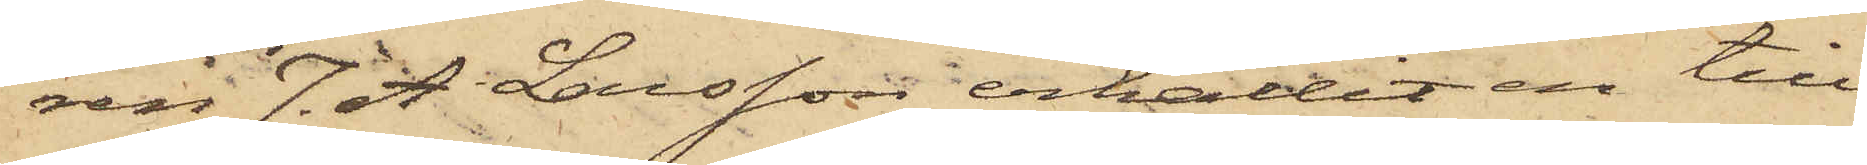ren J. A Larsson erhållit en till
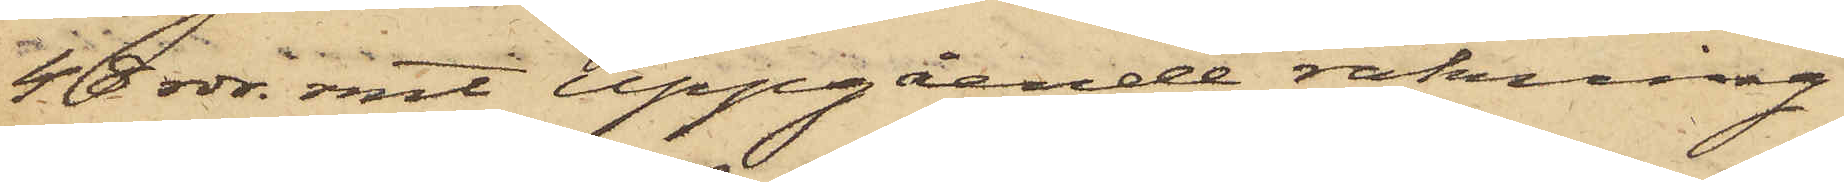48 rdr rmt uppgående räkning
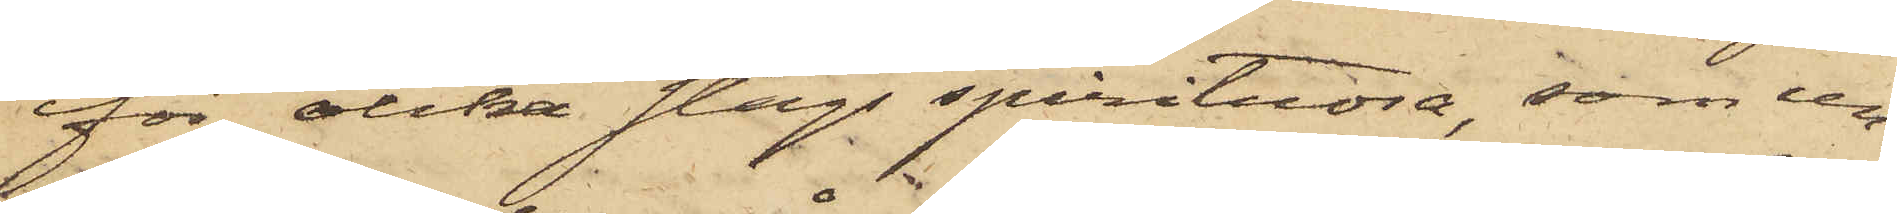för olika slags spirituosa, som un¬
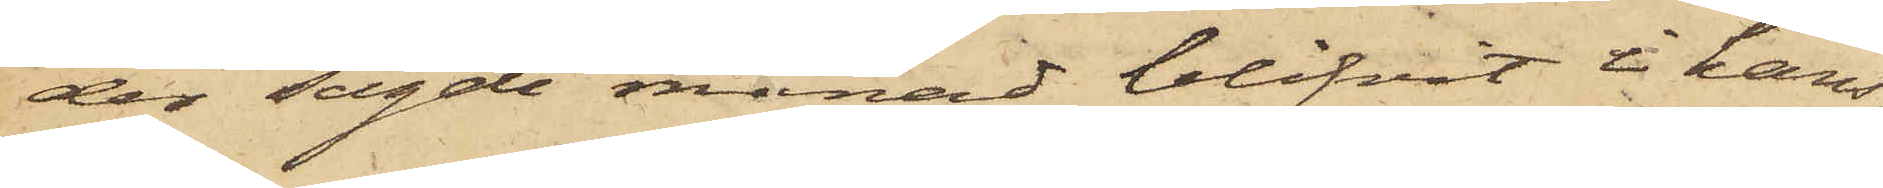der sagde månad blifvit i hans
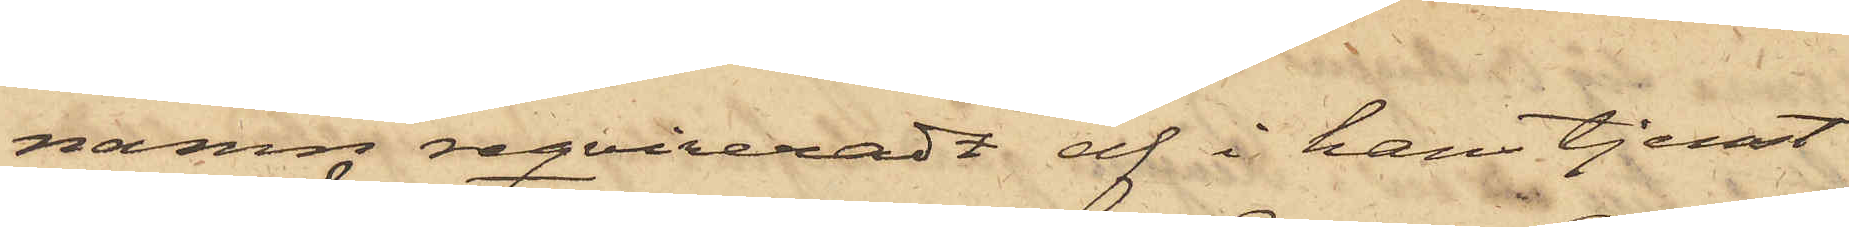namn reqvireradt af i hans tjenst
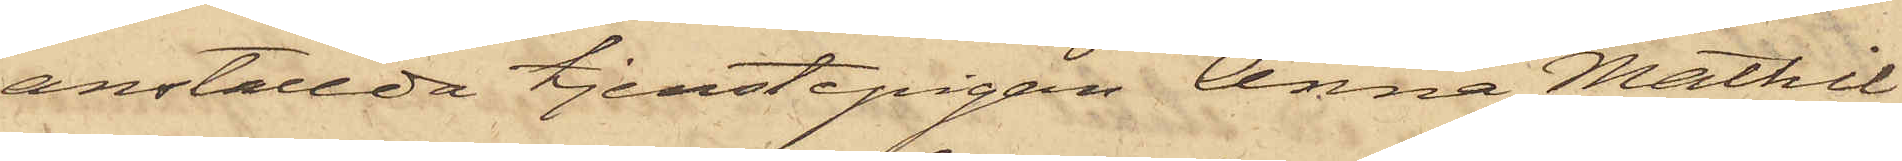anställda tjenstepigan Anna Mathil¬
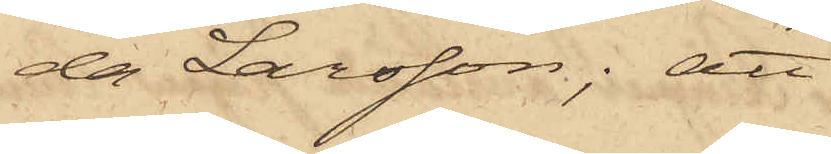da Larsson; att
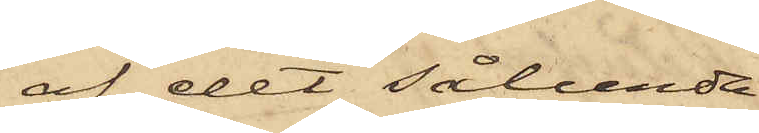af det sålunda
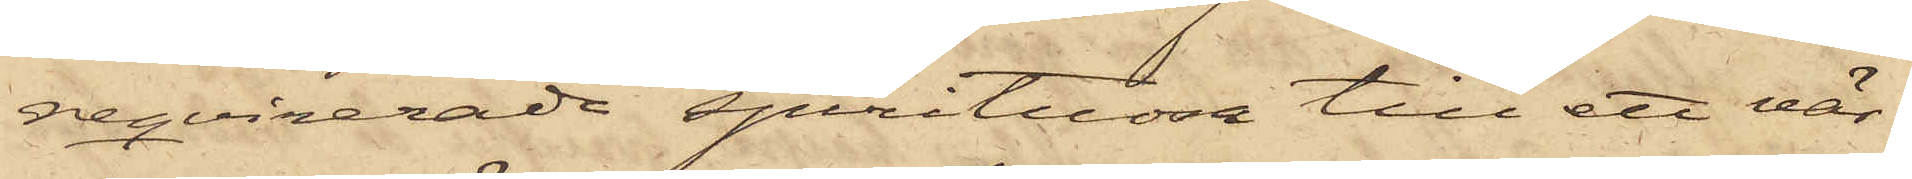reqvirerade spirituosa till ett vär¬
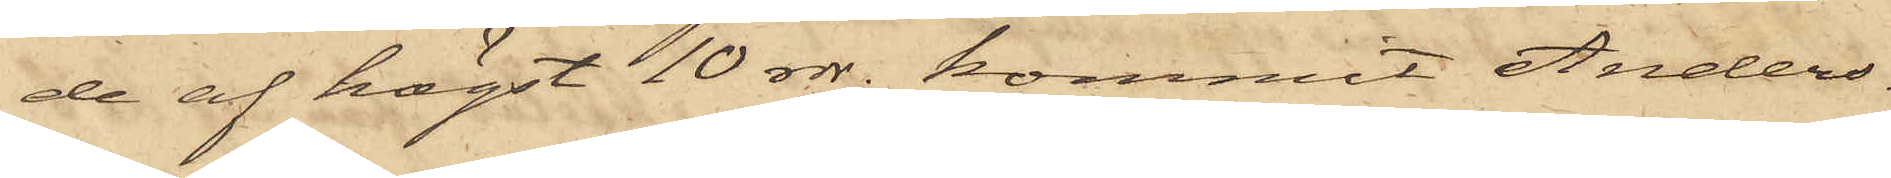de af högst 10 rdr. kommit Anders¬
